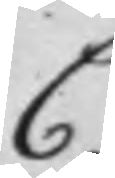C
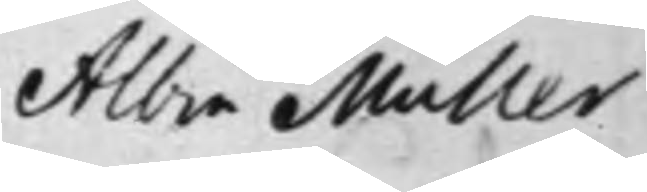Albin Müller
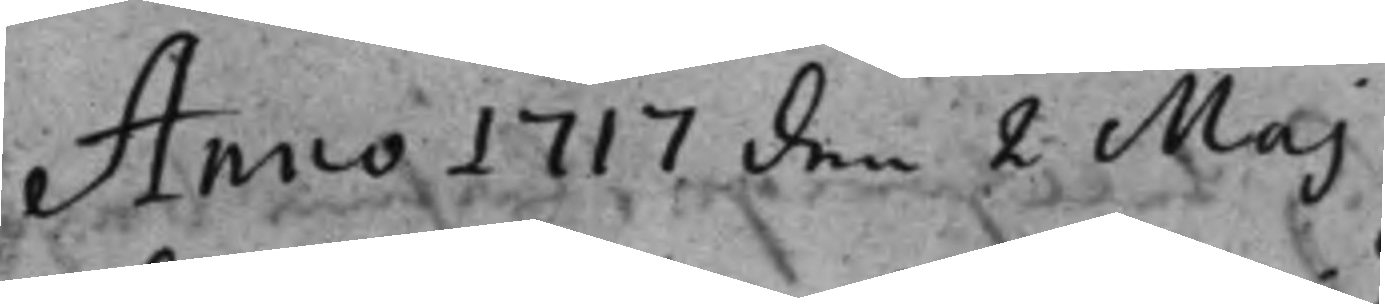Anno 1717 den 2 Maj
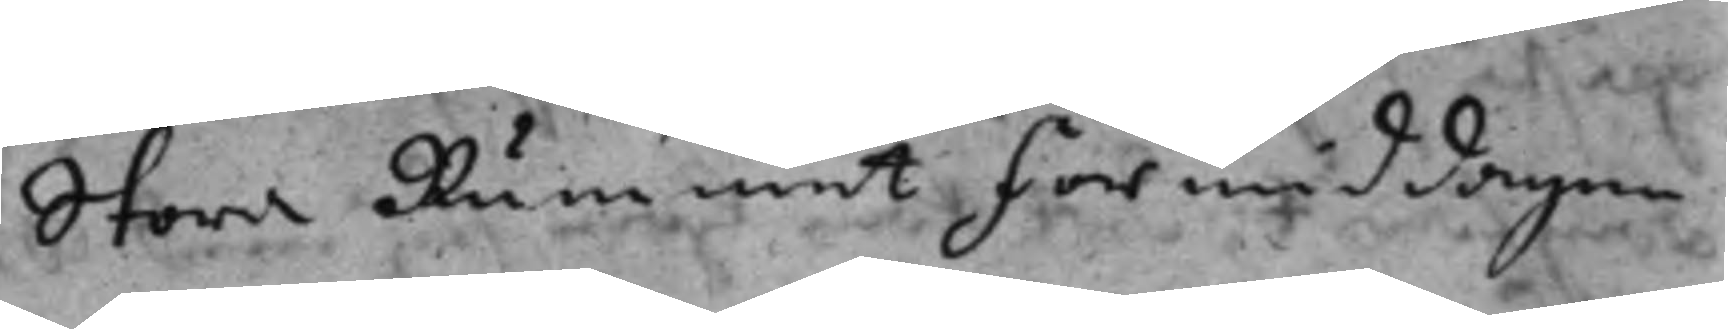Stora Rummet Förmiddagen
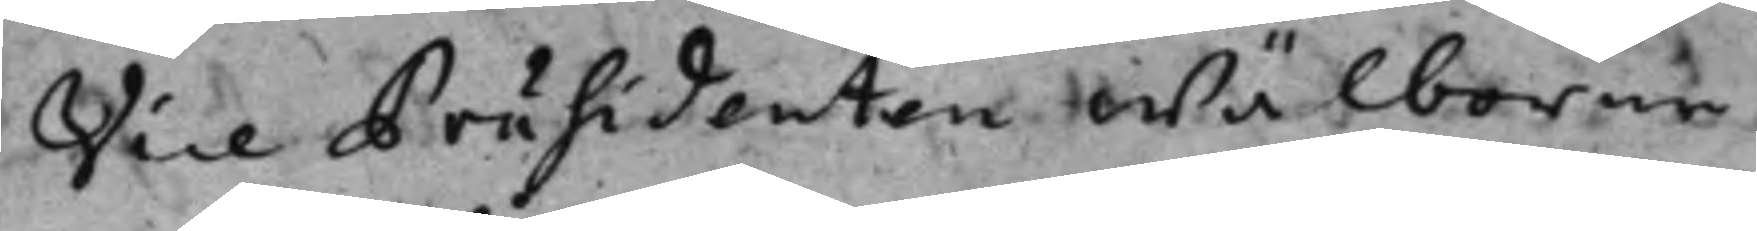Vice Präsidenten wälborne
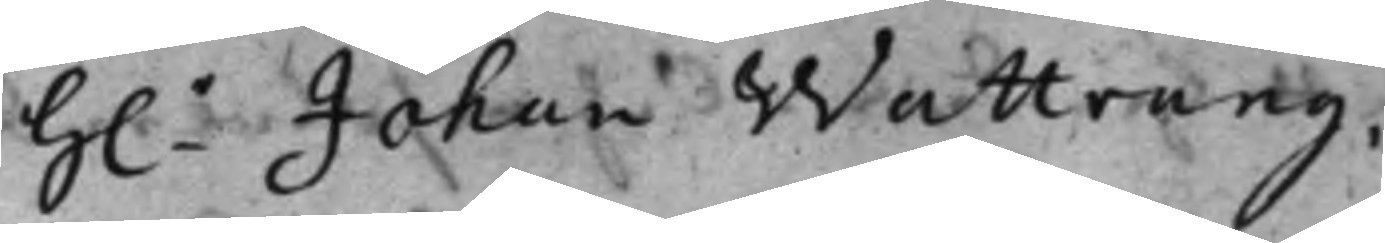h.r Johan Wattrang.
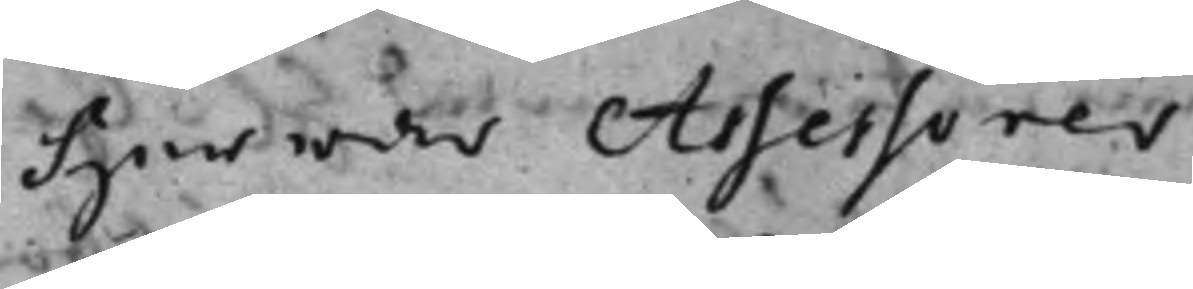Herrar Assessorer
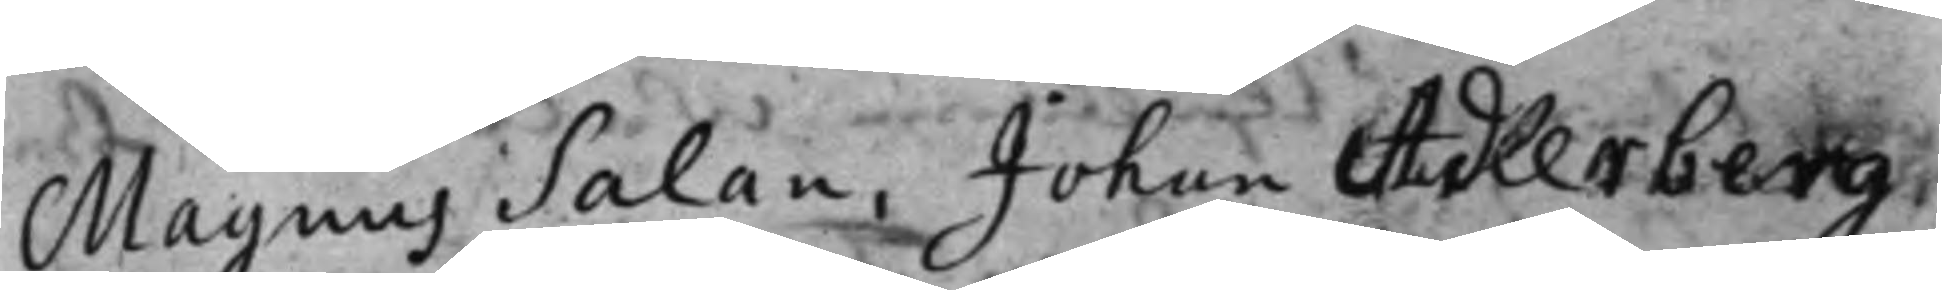Magnus Salan, Johan Adlerberg.
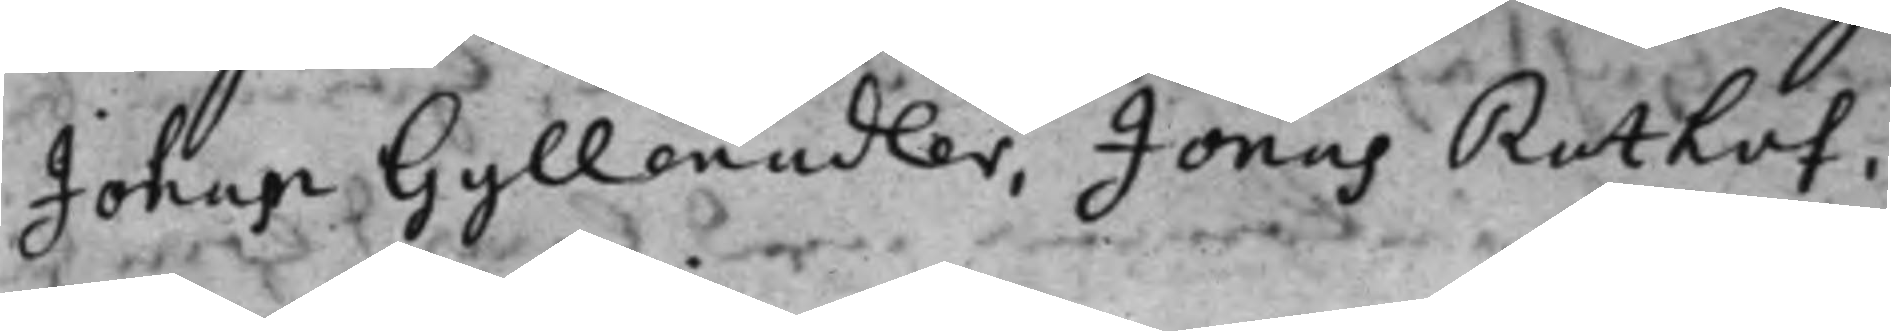Johan Gyllenadler, Jonas Rothof,
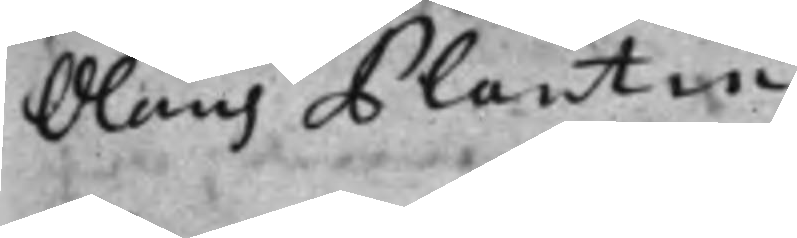Olaus Plantin.
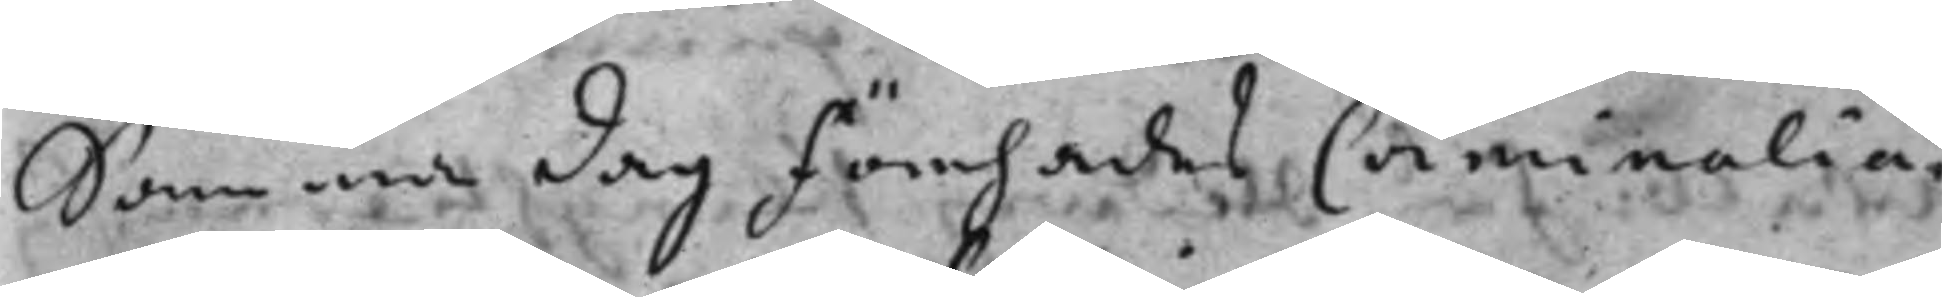Samma dag Förehades Criminalia,
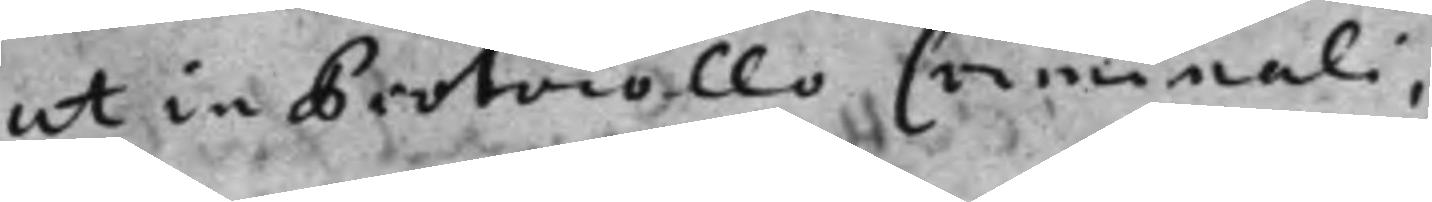ut in Protocollo Criminali.
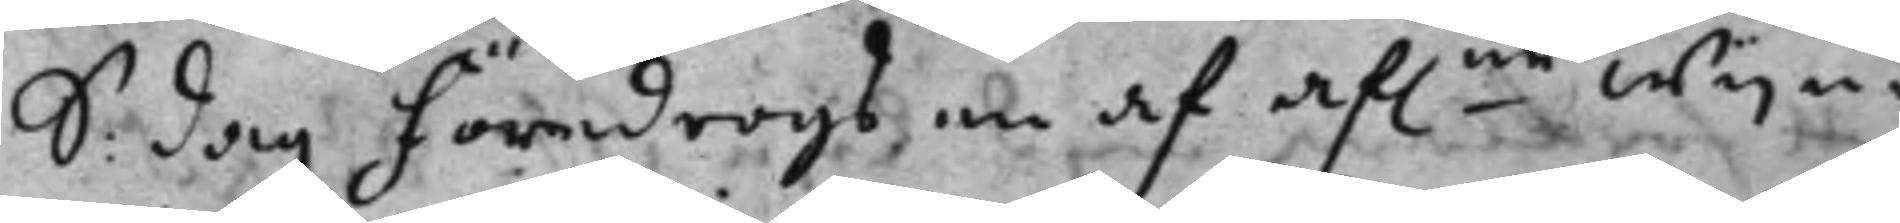S. dag Föredrogs en af af.ne Wijn¬
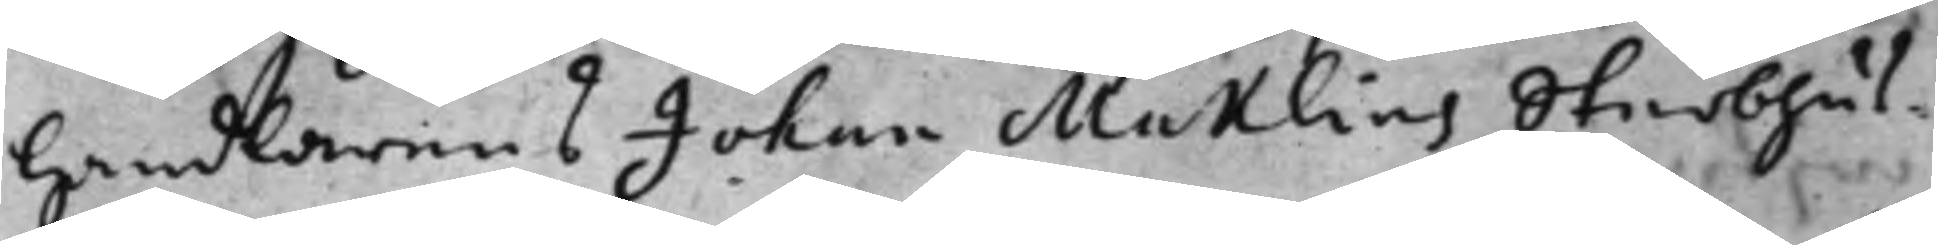handlarens Johan Maklins Sterbhus¬
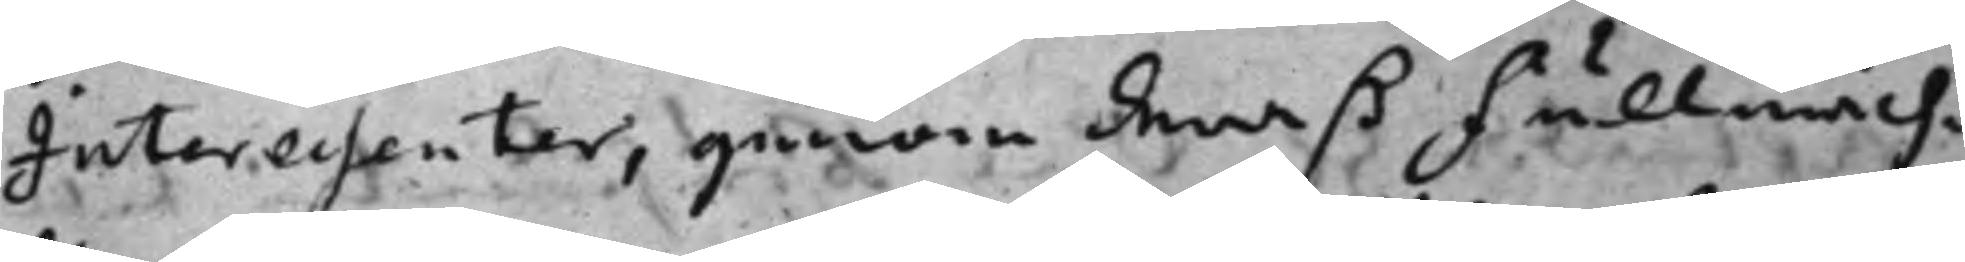Interessenter, genom deraß Fullmech¬
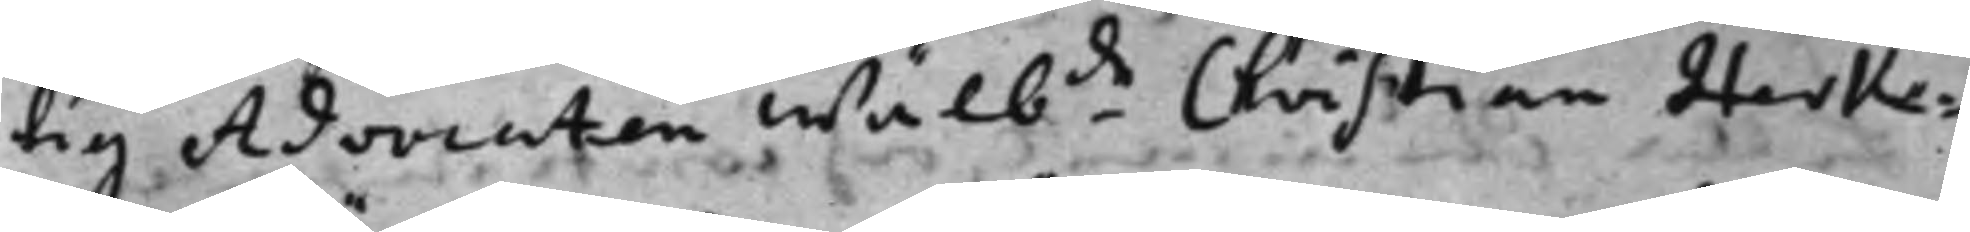tig Advocaten Wälb.de Christian Herke¬
